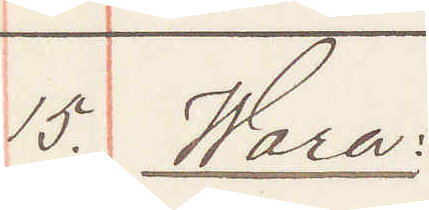15. Wara:
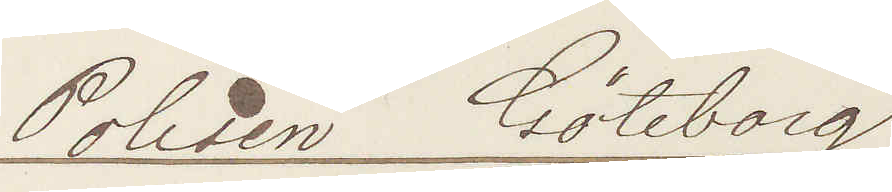Polisen Göteborg
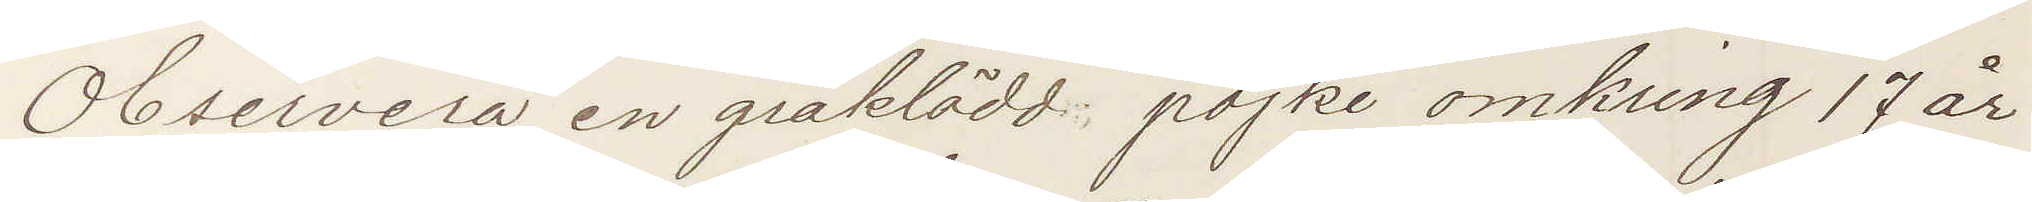Observera en gråklädd pojke omkring 17 år
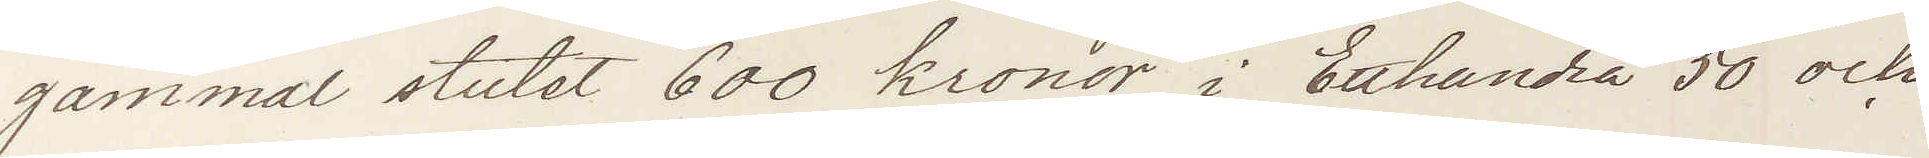gammal stulit 600 kronor i Etthundra 50 och
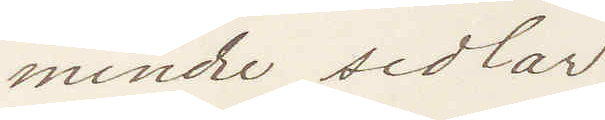mindre sedlar:
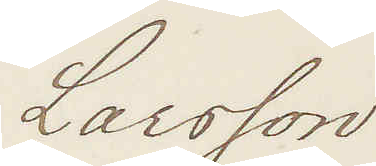Larsson
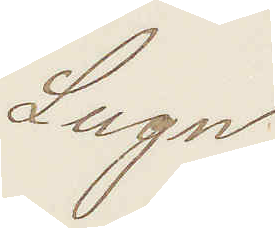Lugn
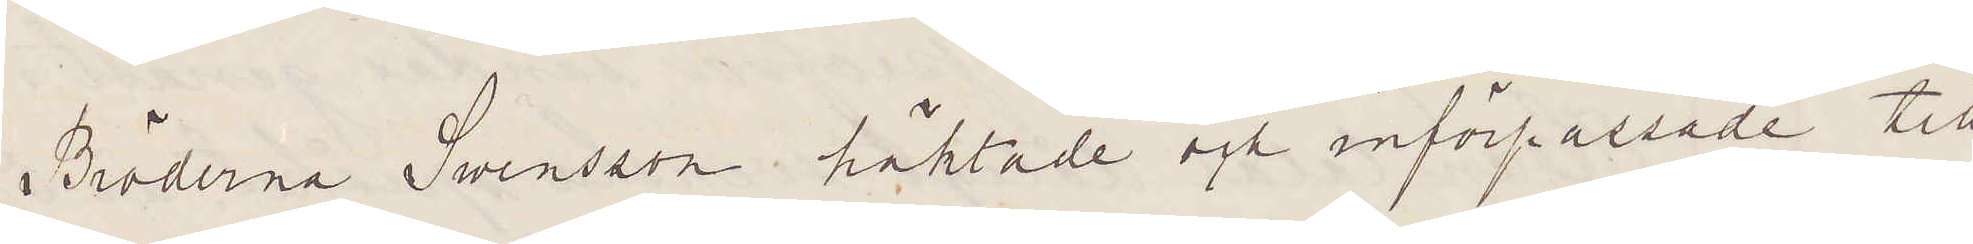Bröderna Swensson häktade och införpassade till
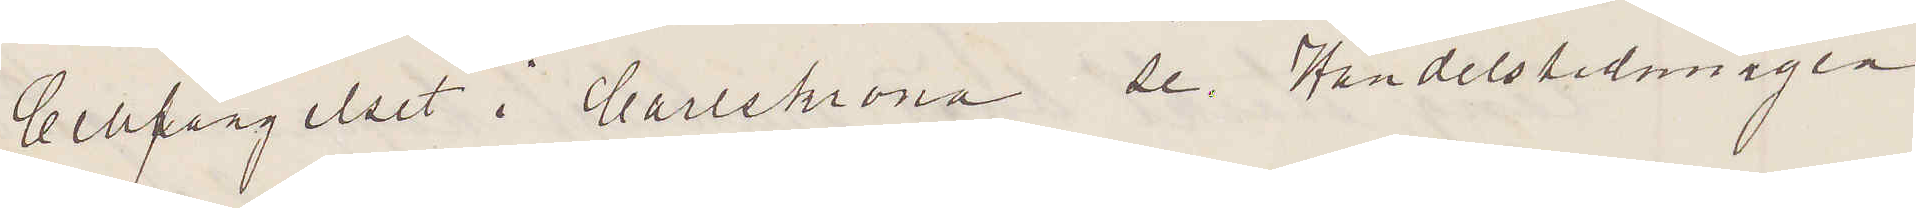Cellfängelset i Karlskrona  se Handelstidningen
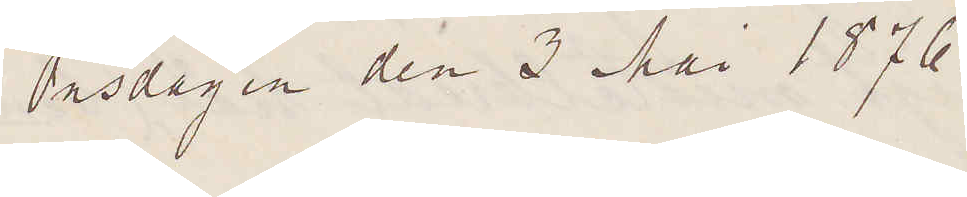Onsdagen den 3 Mai 1876.
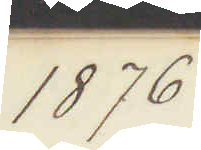1876
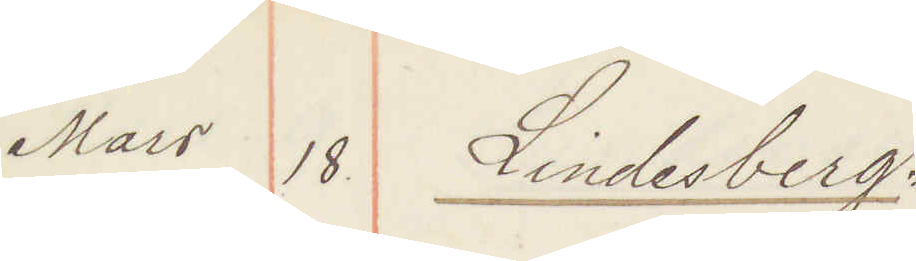Mars 18 Lindesberg.
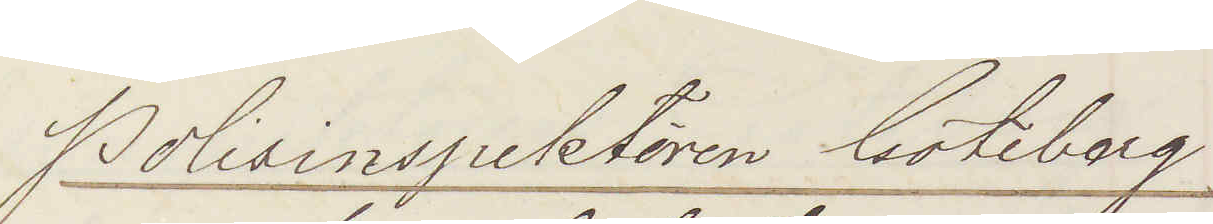Polisinspektorn Göteborg
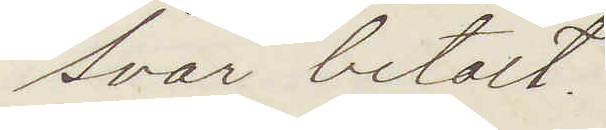Svar betalt
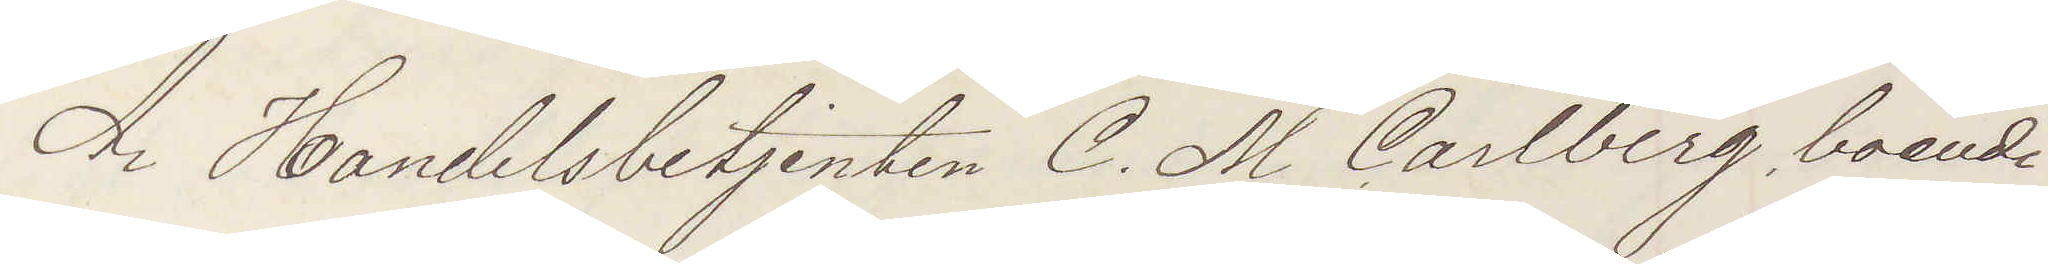Är Handelsbetjenten C. M. Carlberg boende
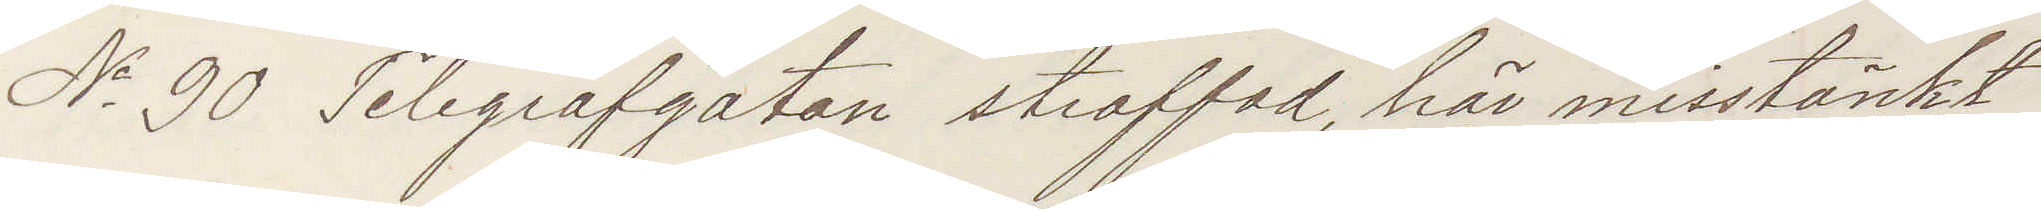No 90 Telegrafgatan straffad, här misstänkt
